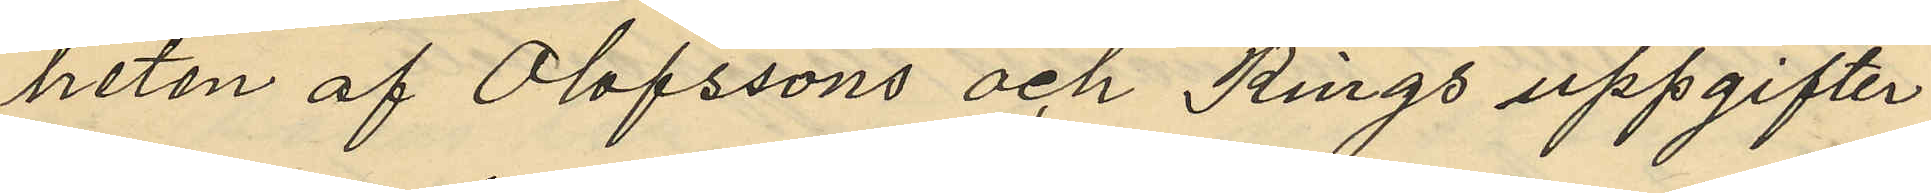heten af Olofssons och Rings uppgifter
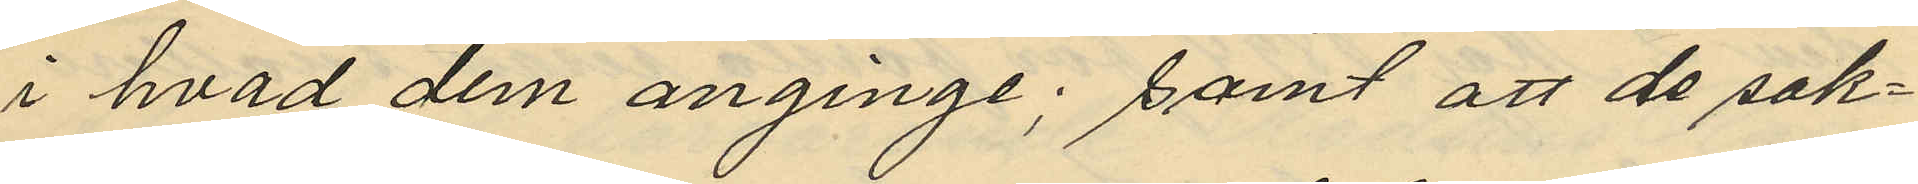i hvad dem anginge; samt att de sak¬
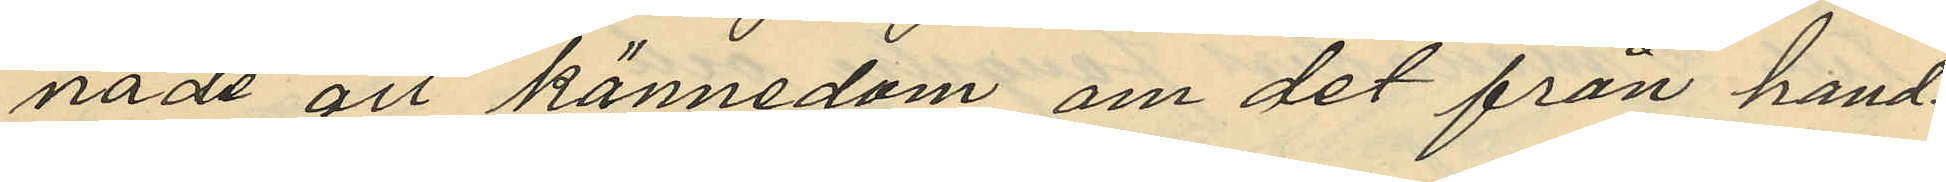nade all kännedom om det från hand¬
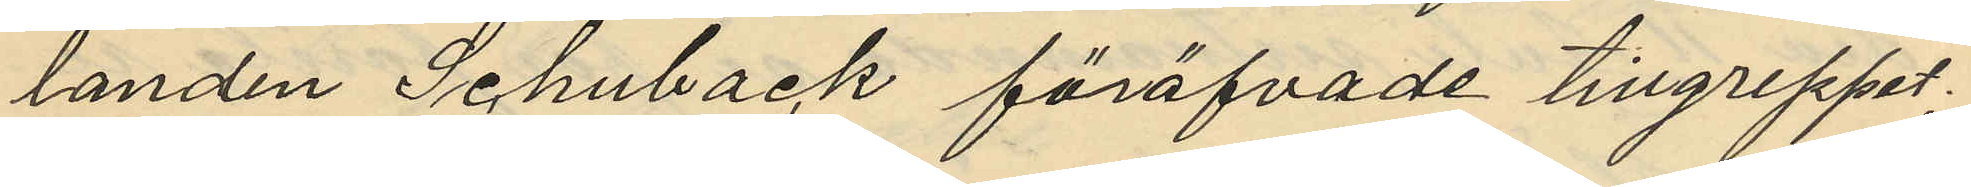landen Schuback föröfvade tillgreppet.
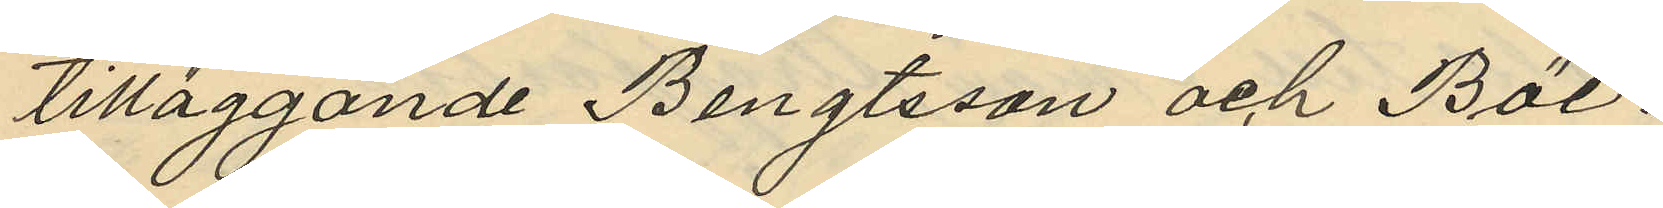tilläggande Bengtsson och Böl:
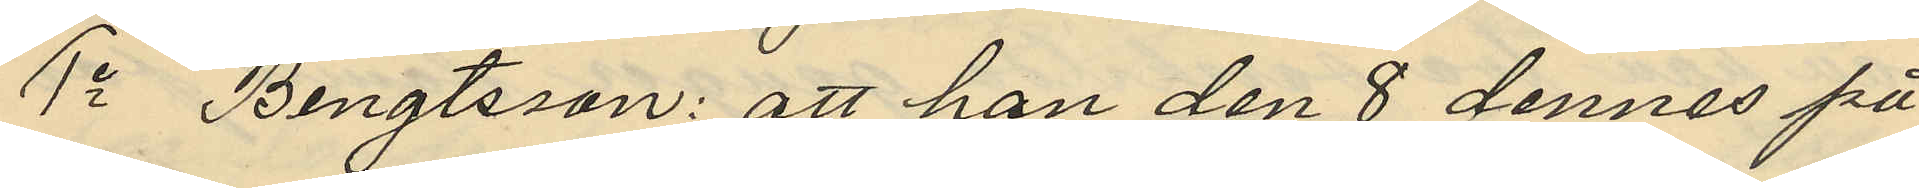1o Bengtsson: att han den 8 dennes på
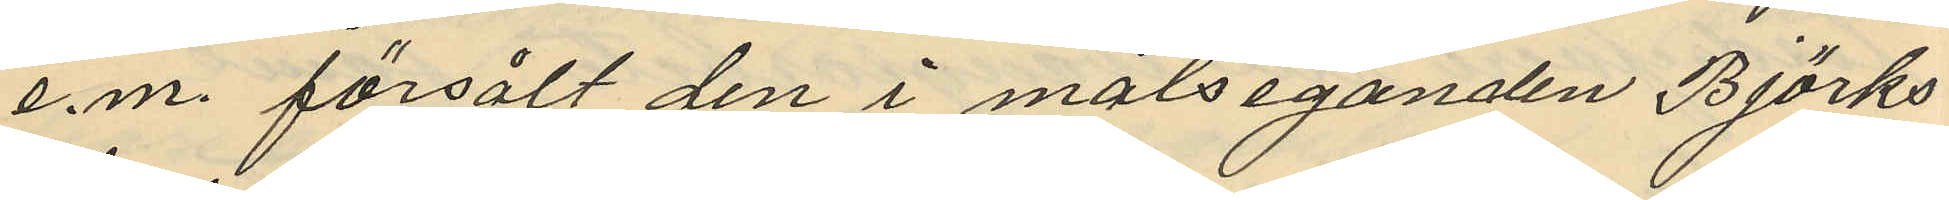e.m. försålt den i målseganden Björks
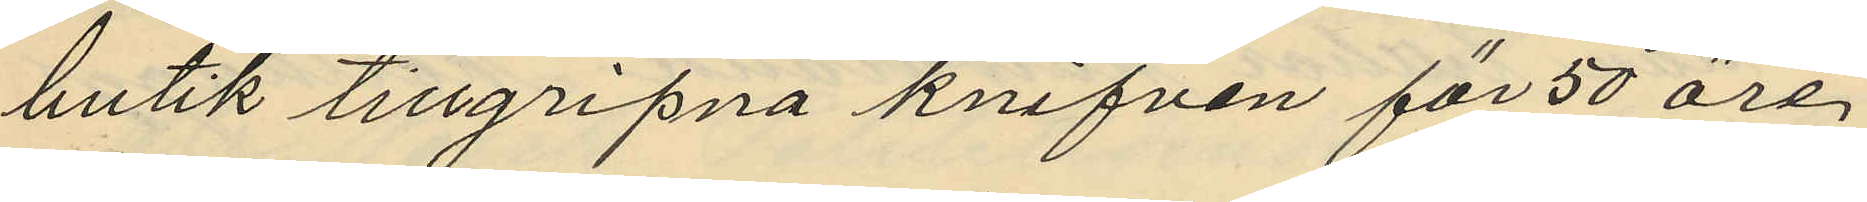butik tillgripna knifven för 50 öre,
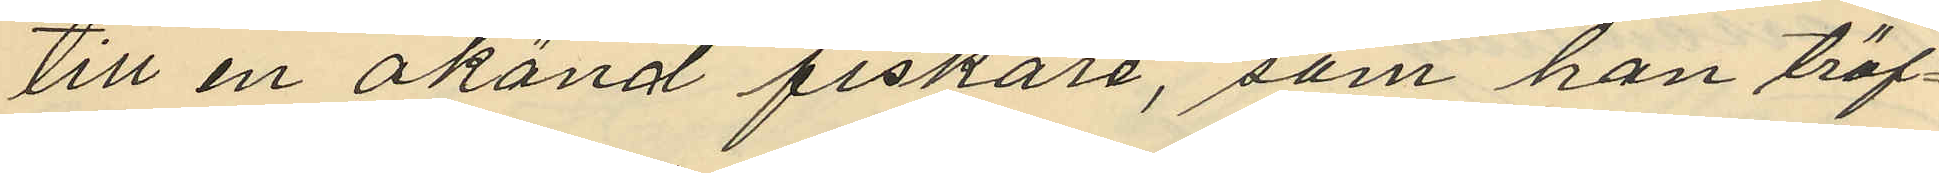till en okänd fiskare, som han träf¬
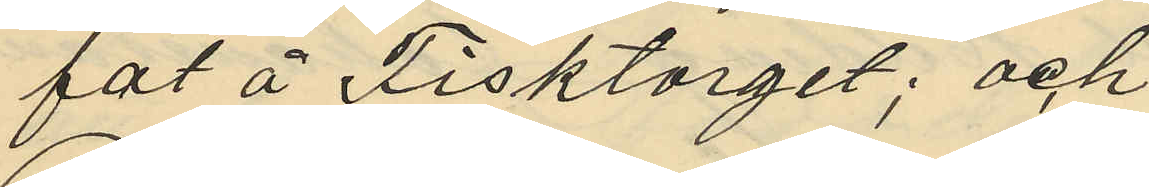fat å Fisktorget; och
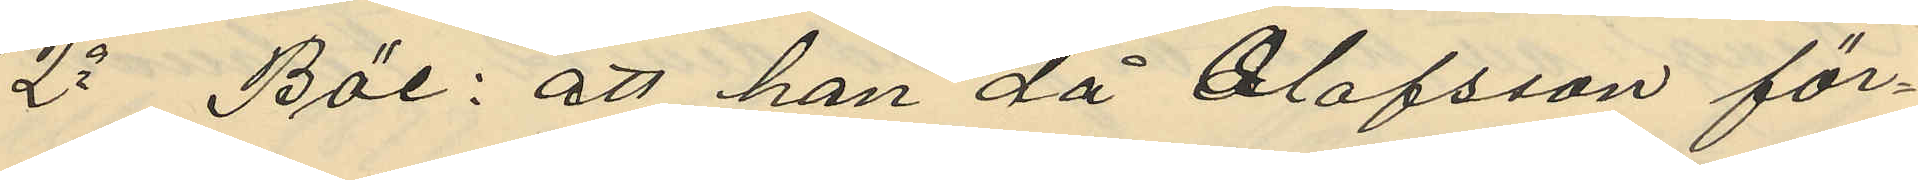2o Böl: att han då Olofsson för¬
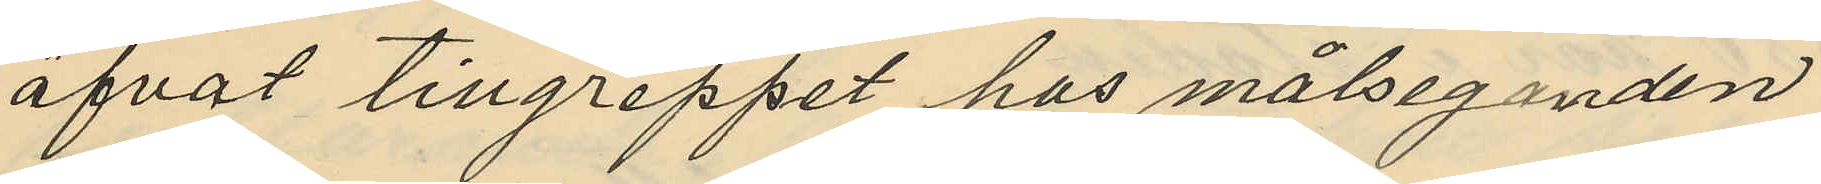öfvat tillgreppet hos målseganden
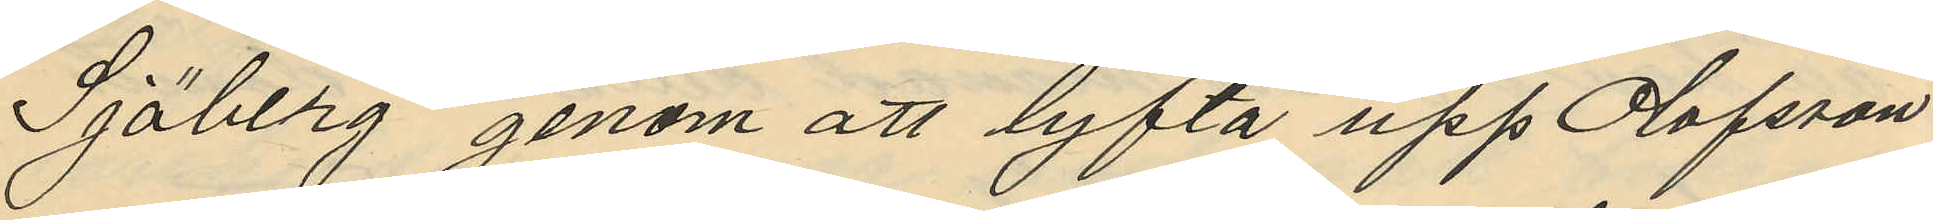Sjöberg genom att lyfta upp Olofsson
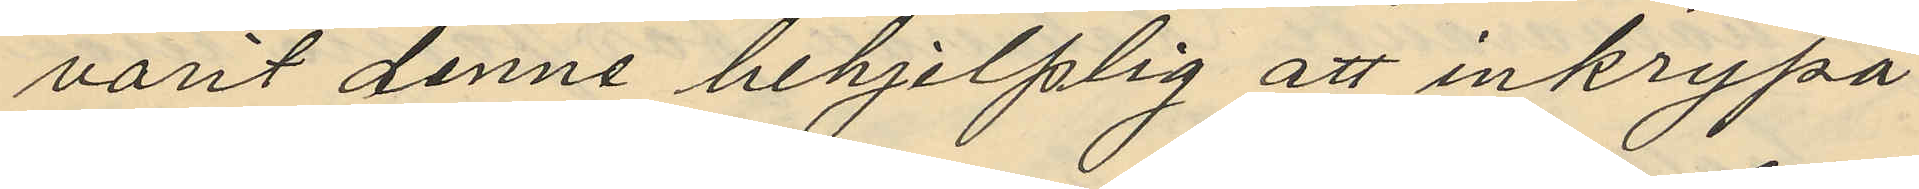varit denne behjelplig att inkrypa
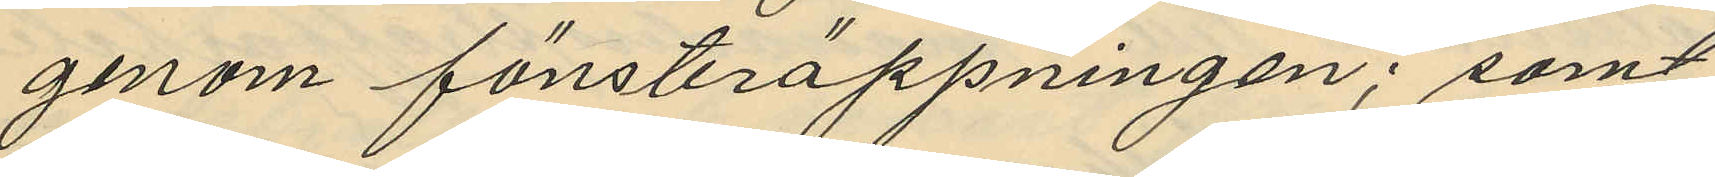genom fönsteröppningen; samt
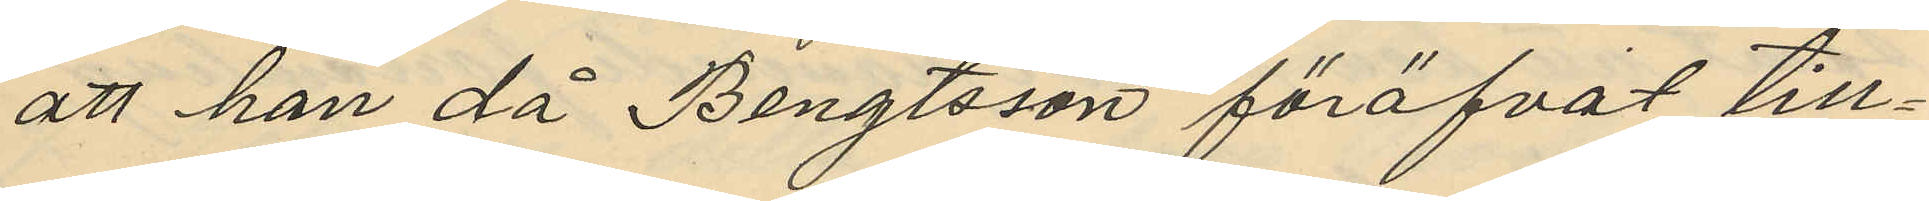att han då Bengtsson föröfvat till¬
